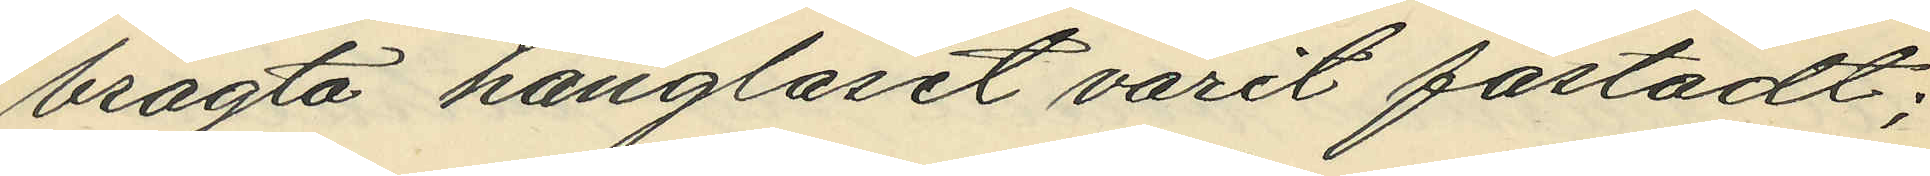bragta hänglåset varit fästadt;
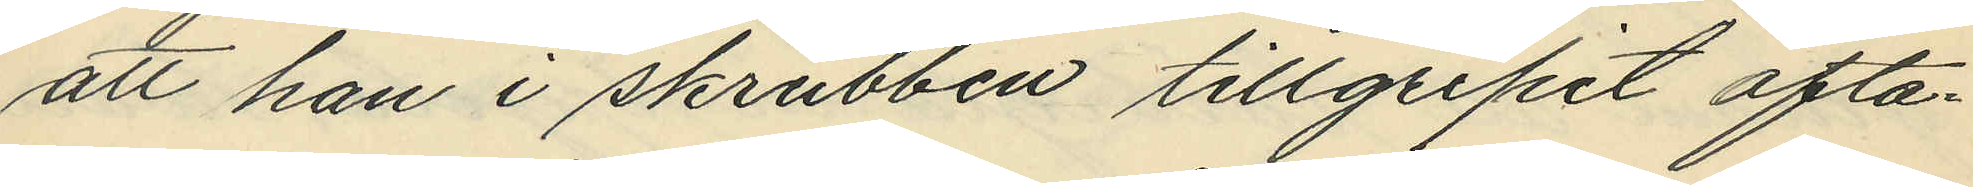att han i skrubben tillgripit ofta¬
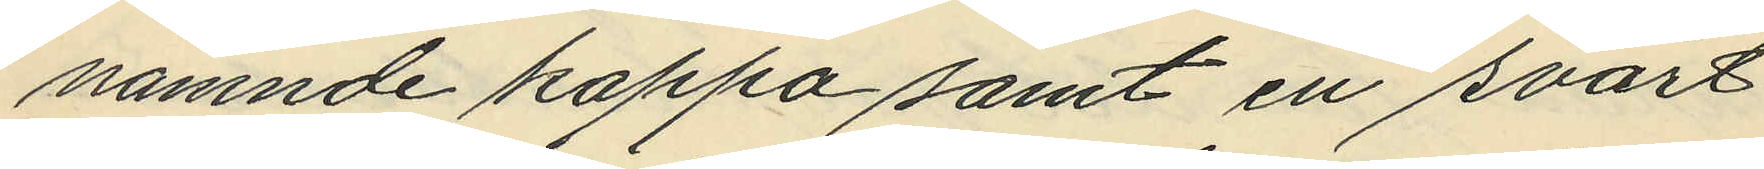nämnde kappa samt en svart
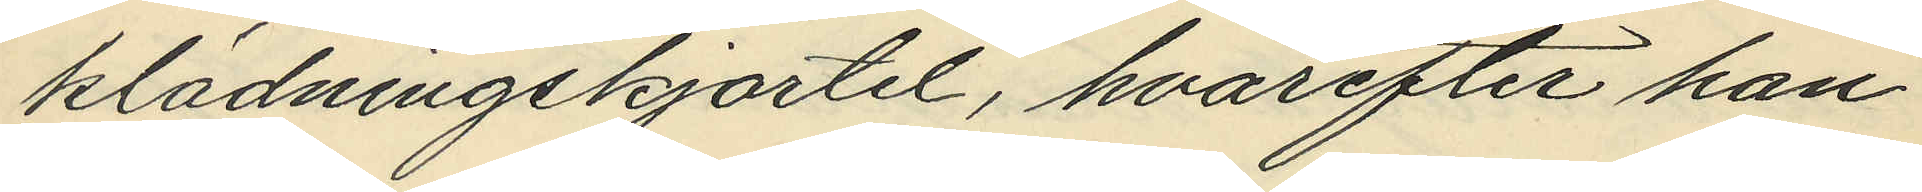klädningskjortel, hvarefter han
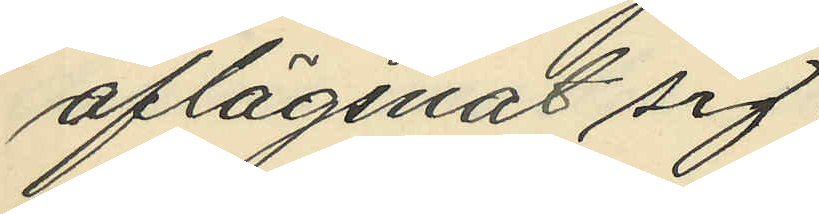aflägsnat sig;
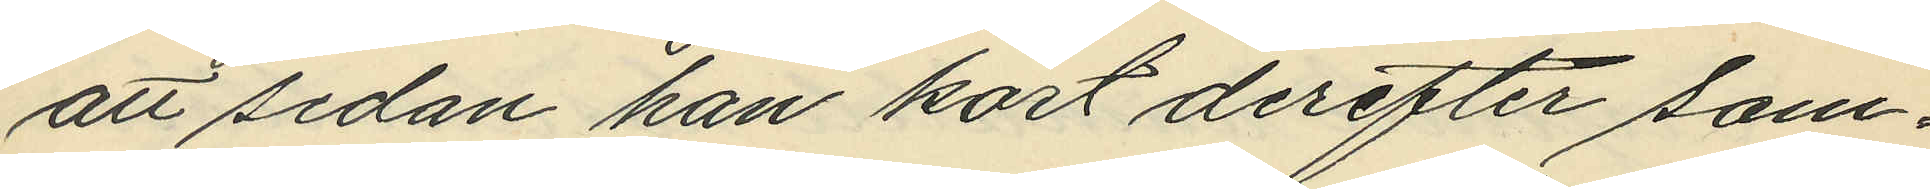att sedan han kort derefter sam¬
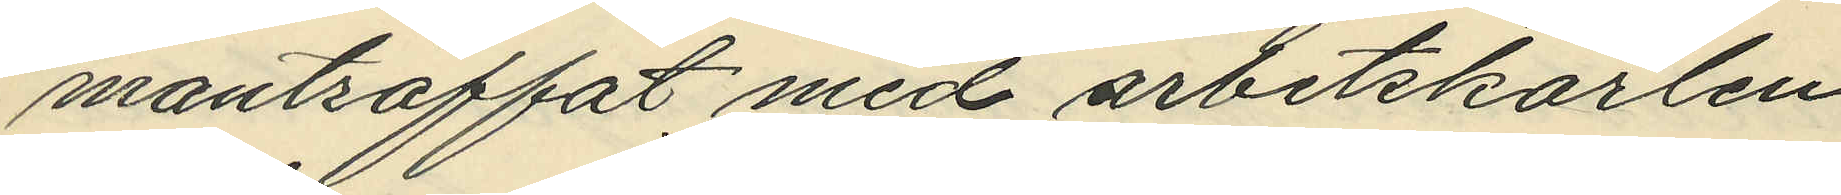manträffat med arbetskarlen
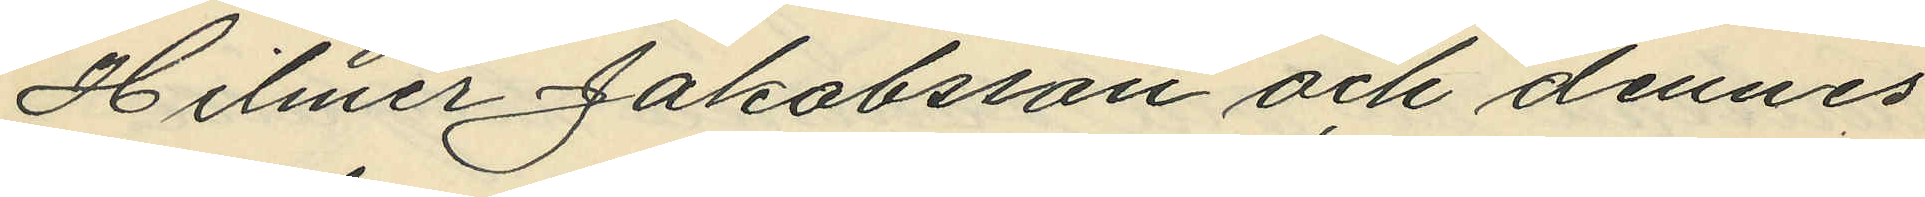Hilmer Jakobsson och dennes
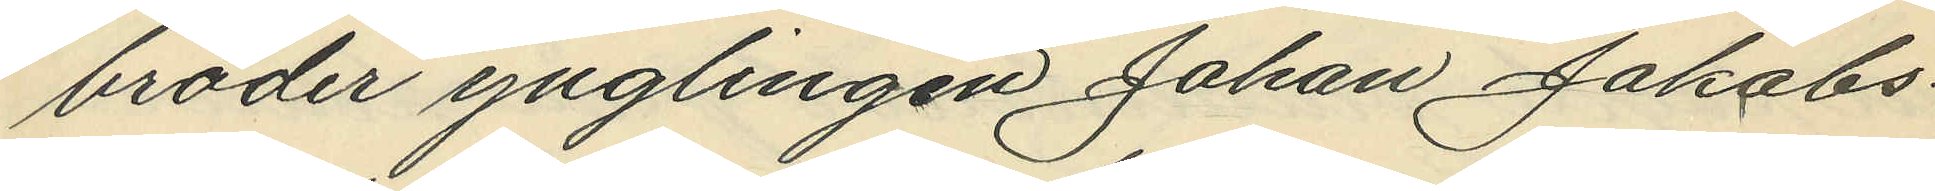broder ynglingen Johan Jakobs¬
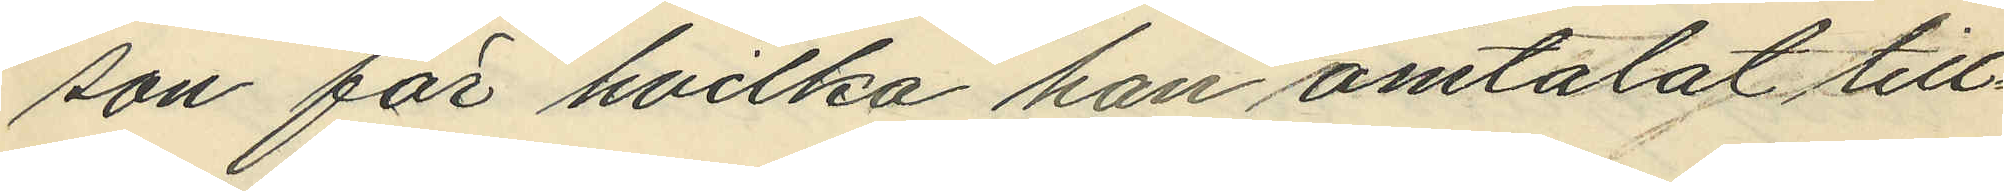son för hvilka han omtalat till¬
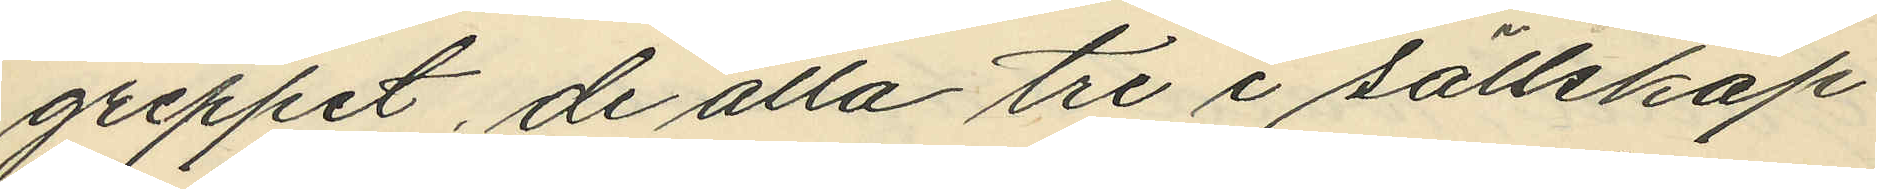greppet, de alla tre i sällskap
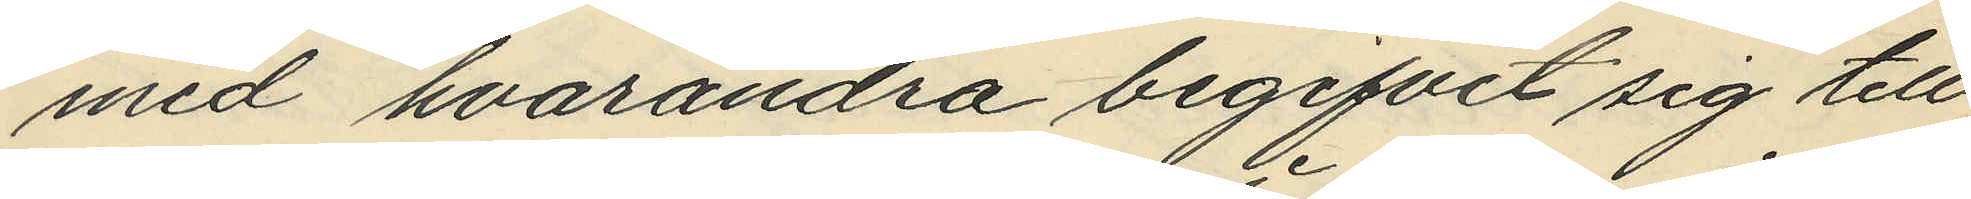med hvarandra begifvit sig till
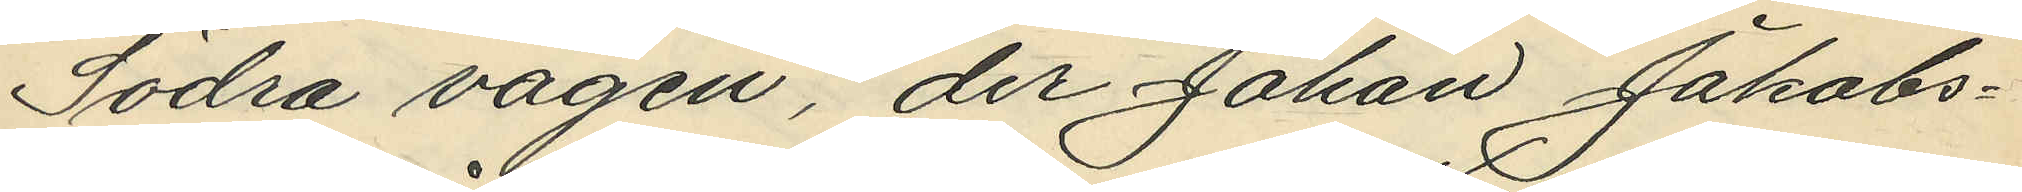Södra vägen, der Johan Jakobs¬
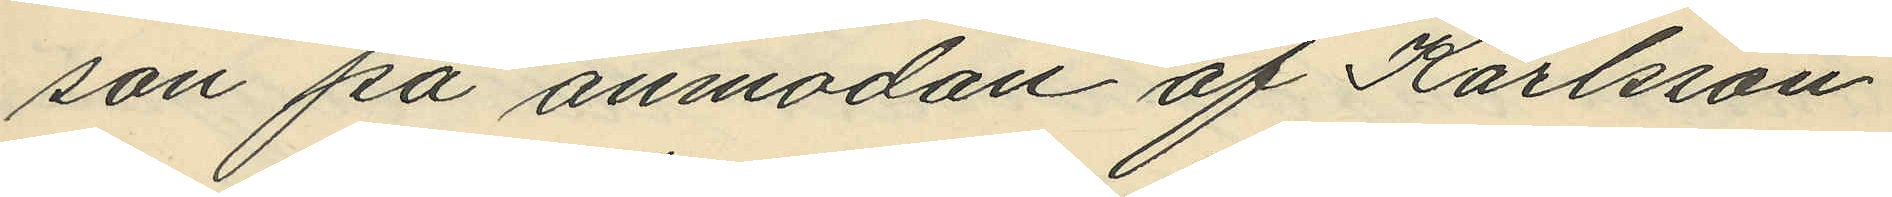son på anmodan af Karlsson
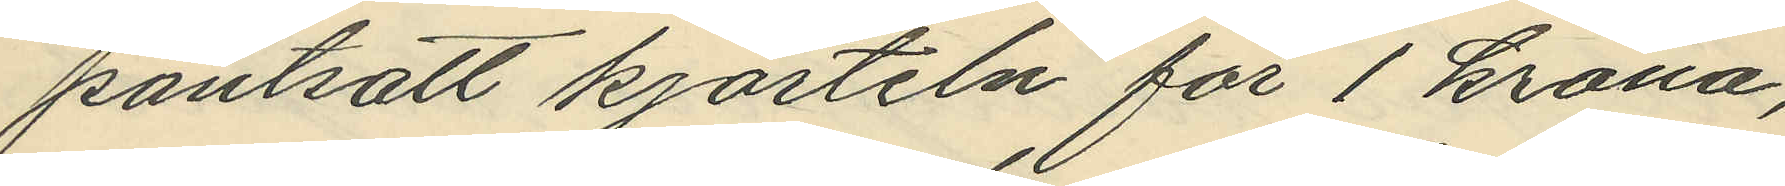pantsatt kjorteln för 1 krona¬
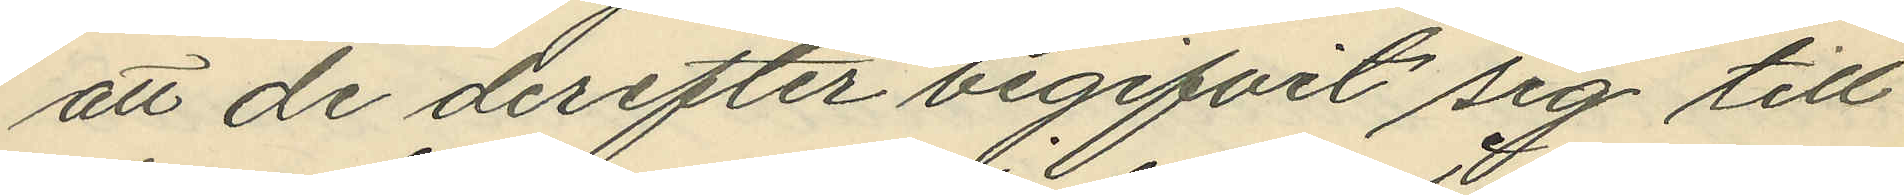att de derefter begifvit sig till
